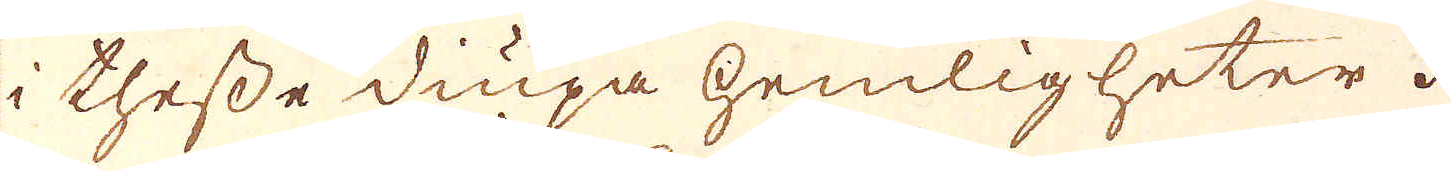i thesse diupa hemligheter.
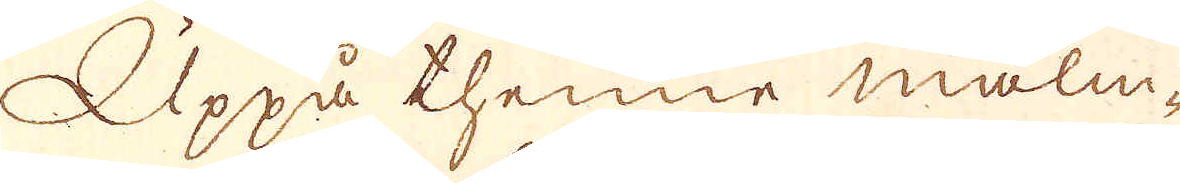Uppå thenne malm-
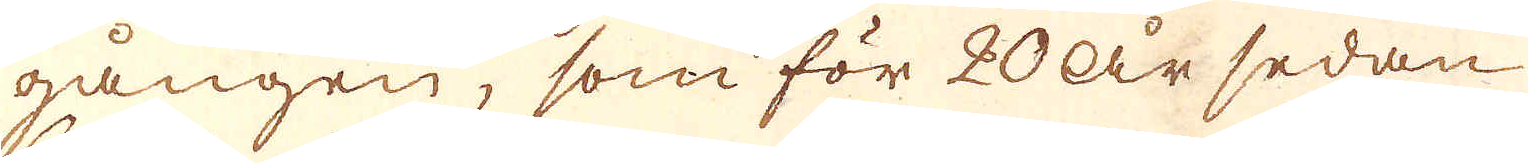gången, som för 20 år sedan
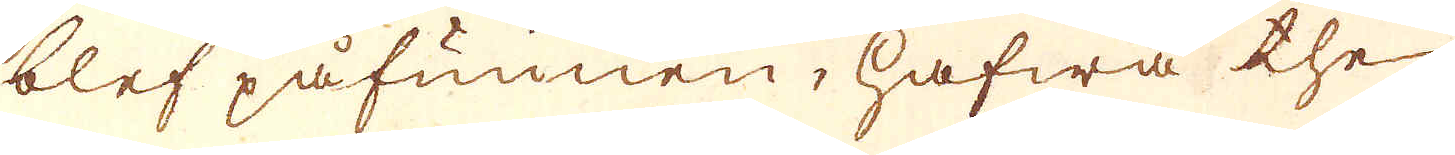blef påfunnen, hafwa the
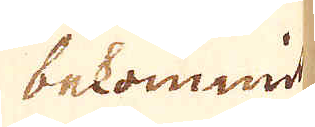bekommit
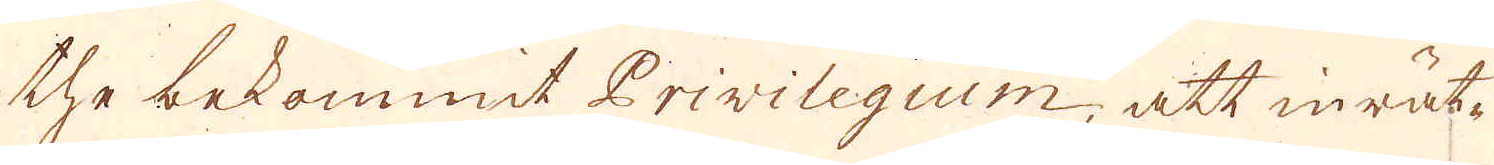the bekommit Privilegium, att inrät-
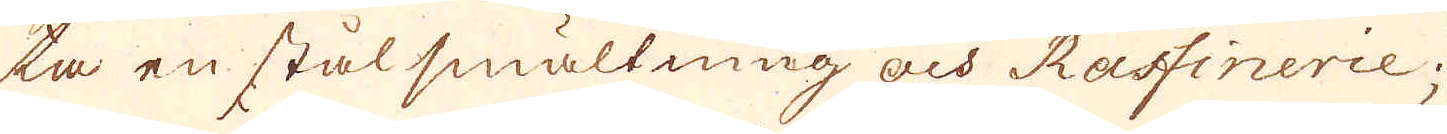ta en stål smältning och Raffinerie;
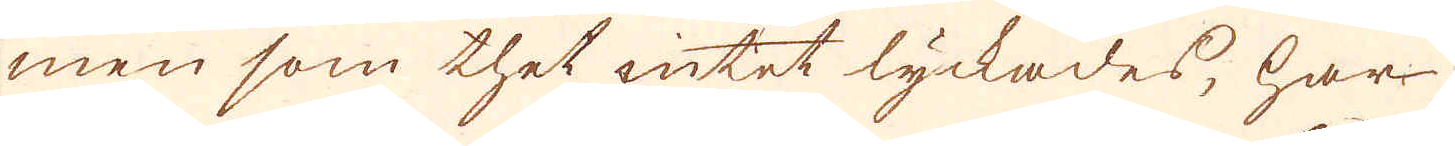men som thet intet lyckades, har
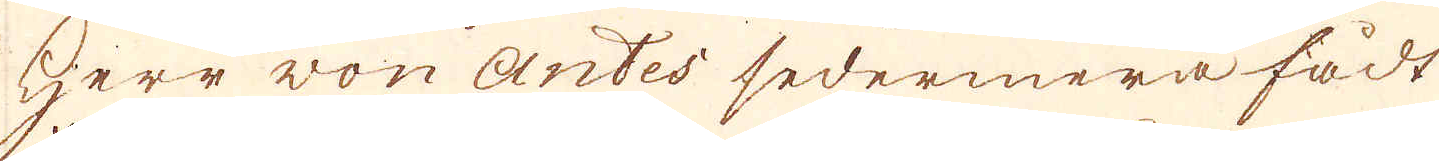Herr von Antes sedermera fådt
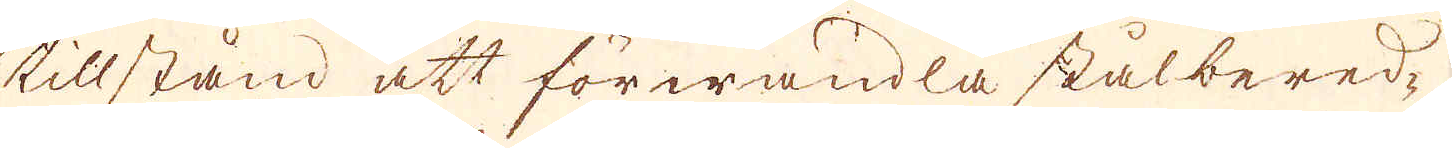tillstånd att förwandla stålbered-
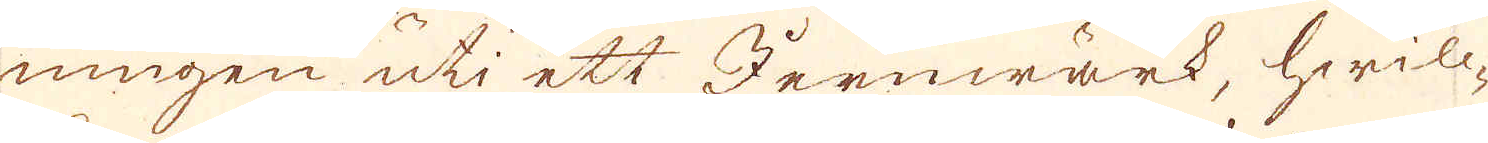ningen uti ett Jernwärk, hwilc-
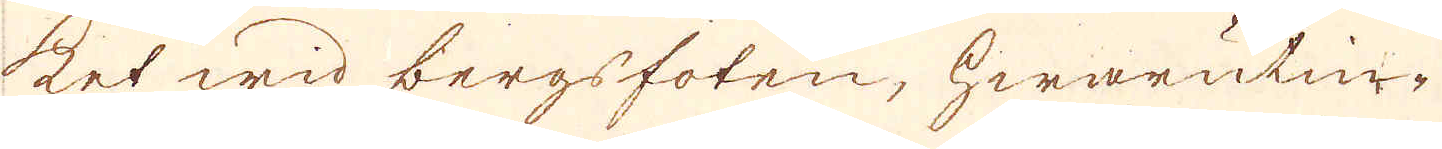ket wid bergsfoten, hwarutin-
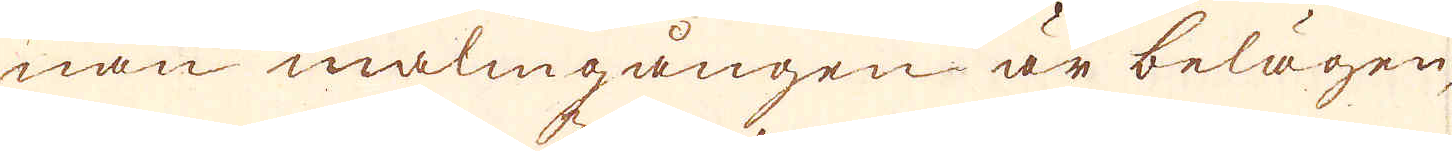nan malmgången är belägen,
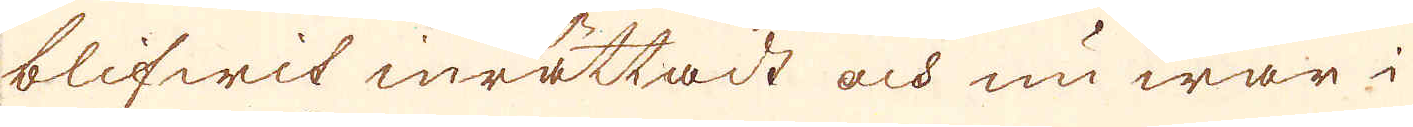blifwit inrättadt och nu war i
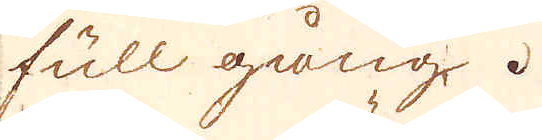full gång.
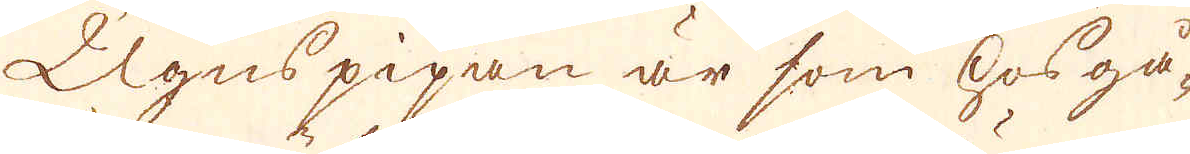Ugnspipan är som hosgå-
